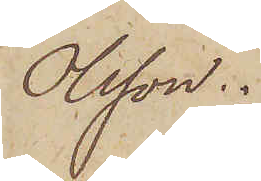Olsson.
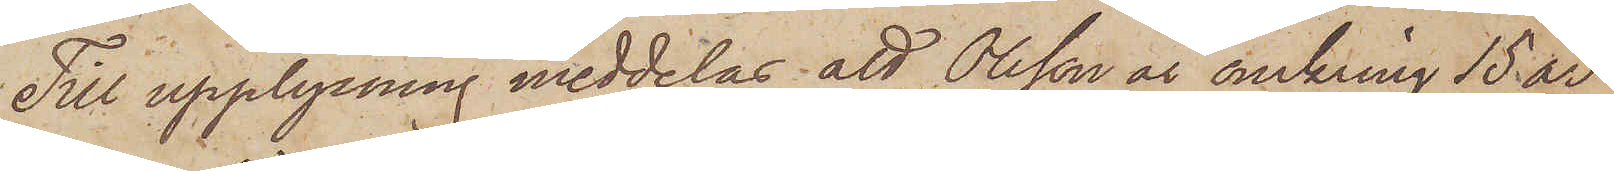Till upplysning meddelas att Olsson är omkring 15 år
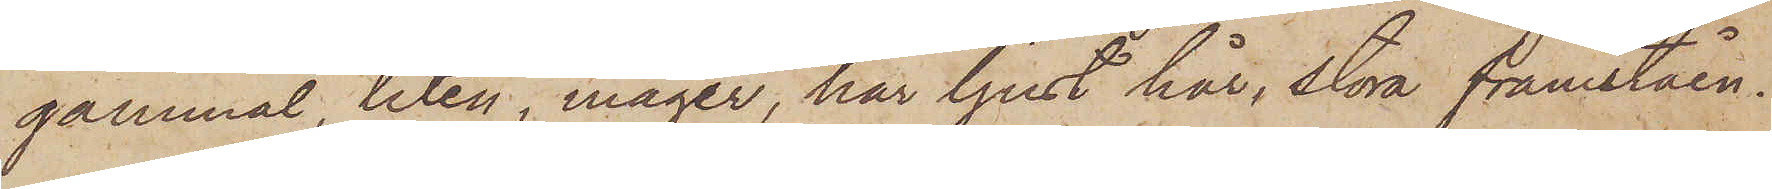gammal, liten, mager, har ljust hår, stora framståen¬
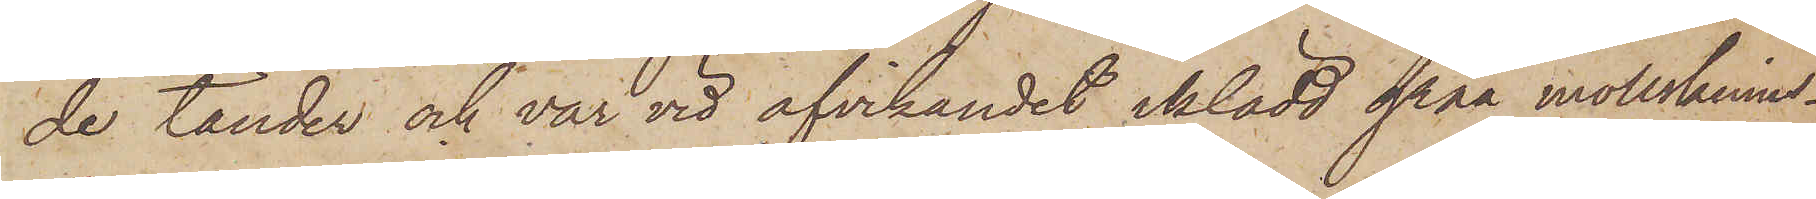de tänder och var vid afvikandet iklädd gråa mollskinns¬
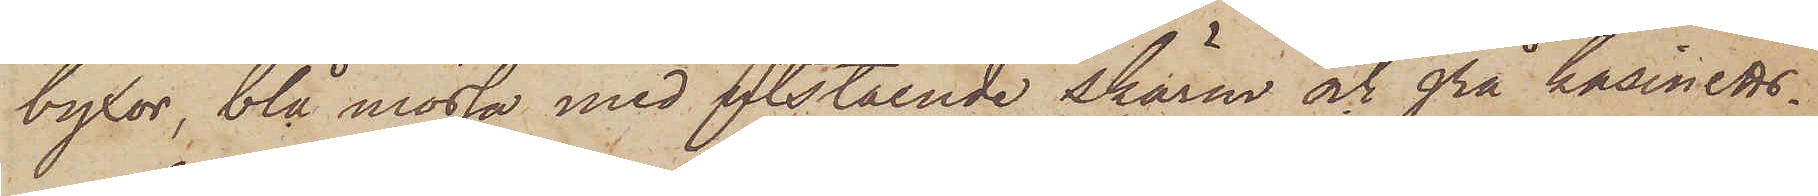byxor, blå mössa med utstående skärm och grå kasinetts¬
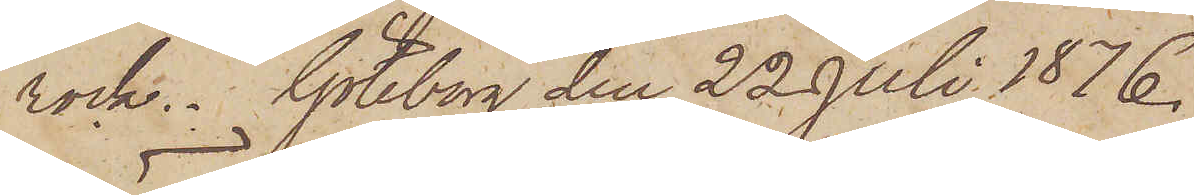rock. Göteborg den 22 Juli 1876.
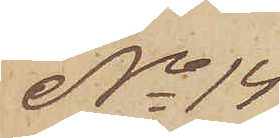No 14
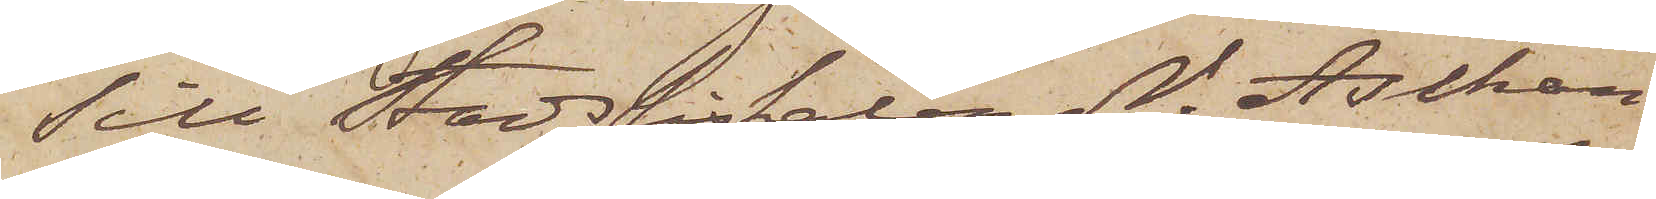Till Stadsfiskalen N. Aschan
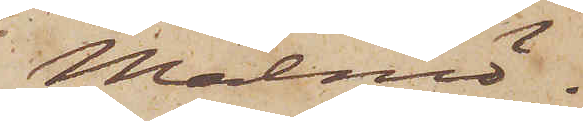Malmö.
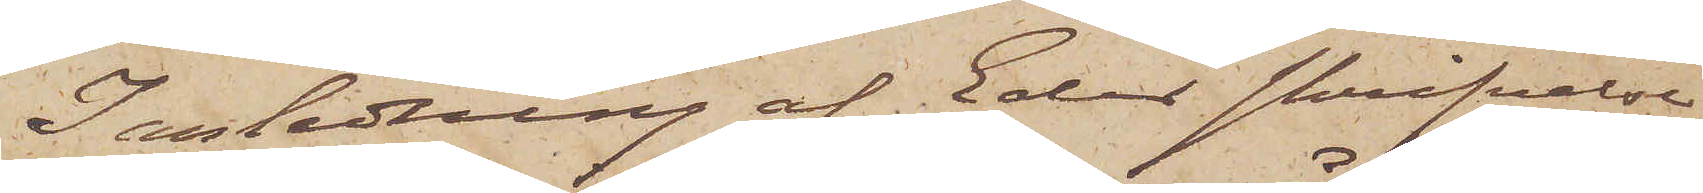I anledning af Eder skrifvelse
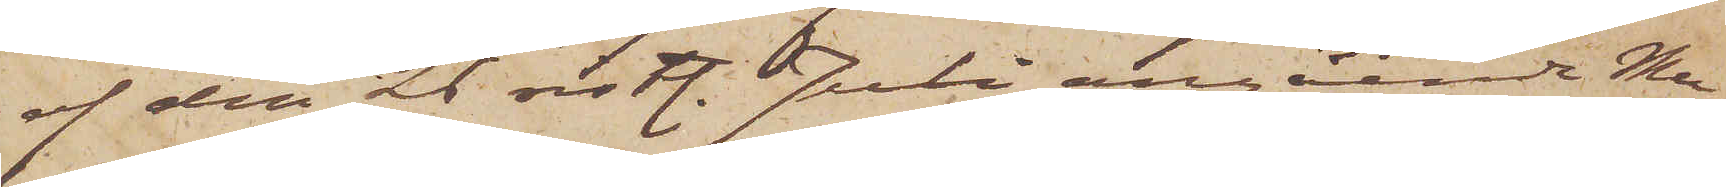af den 26 sistl. Juli angående Mu¬
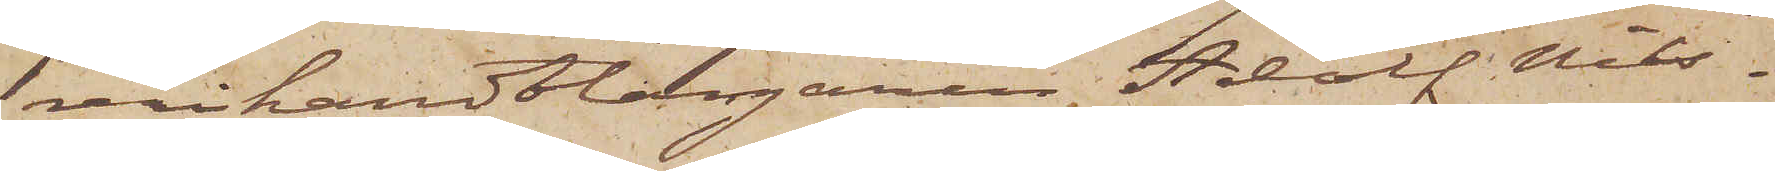erihandtlangaren Adolf Nils¬
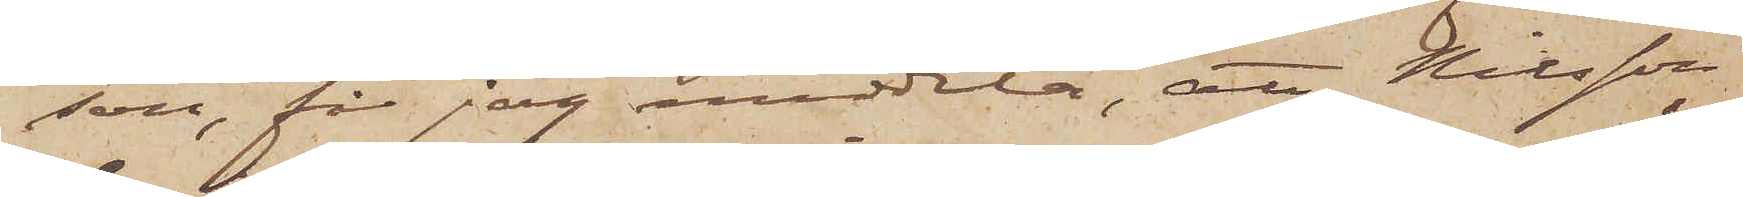son, får jag meddela, att Nilsson,
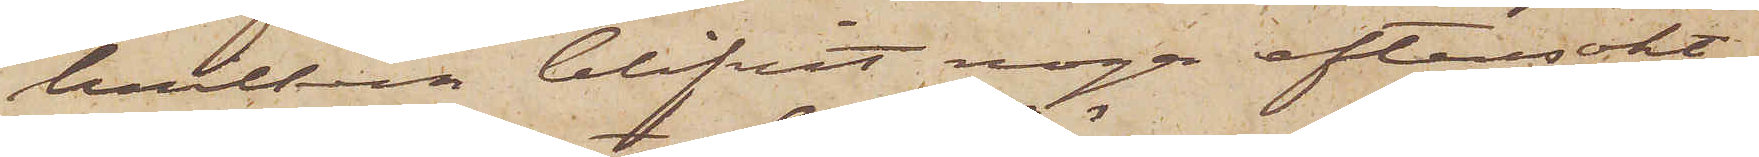hvilken blifvit noga eftersökt,
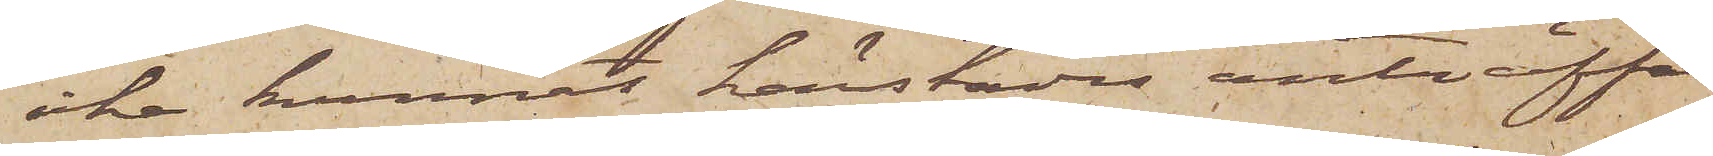icke kunnat härstädes anträffas
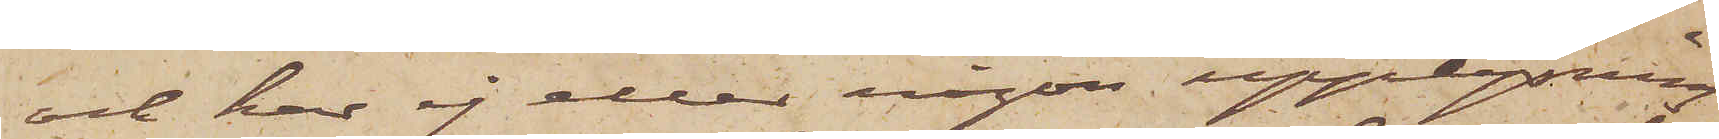och har ej eller någon upplysning
